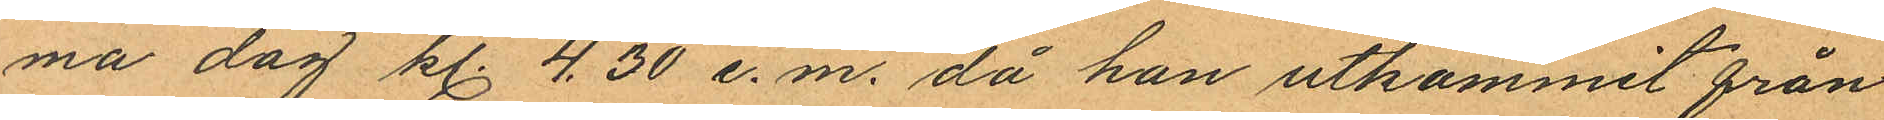ma dag kl. 4.30 e.m. då han utkommit från
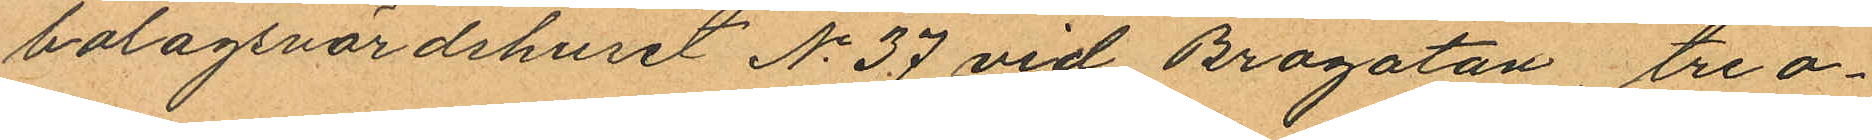bolagsvärdshuset No 37 vid Brogatan, tre o¬
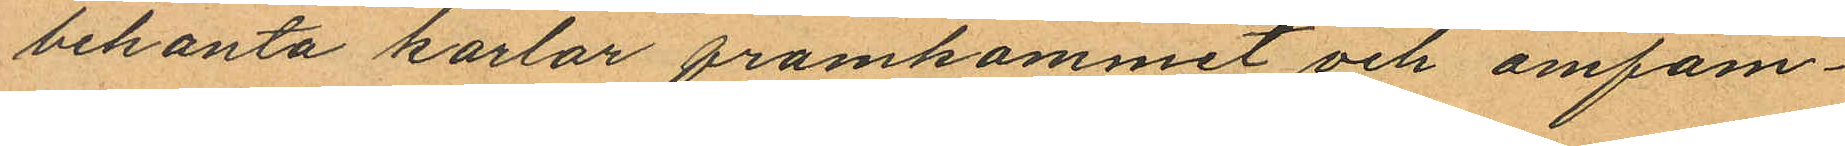bekanta karlar framkommit och omfam¬
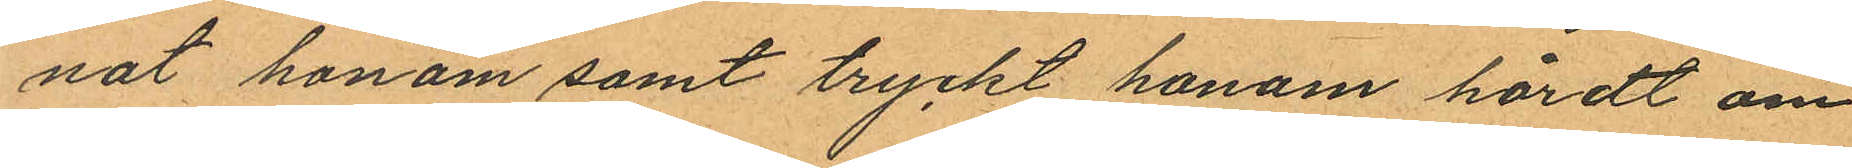nat honom samt tryckt honom hårdt om
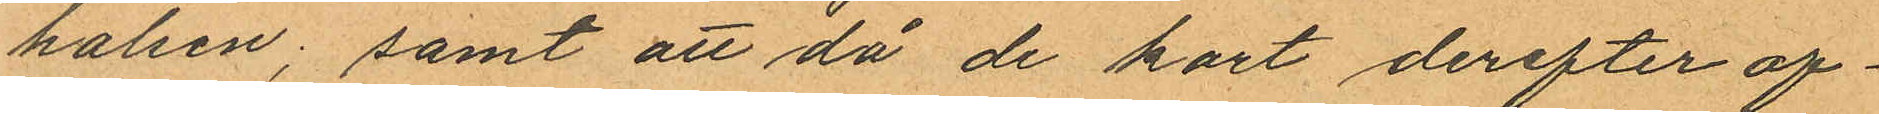halsen; samt att då de kort derefter af¬
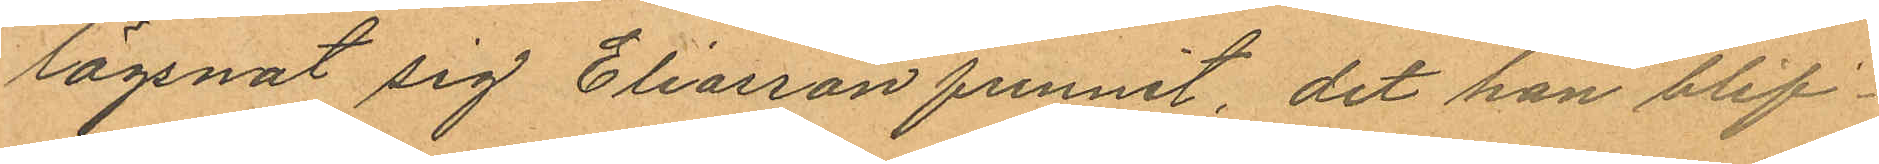lägsnat sig Eliasson funnit, dit han blif¬
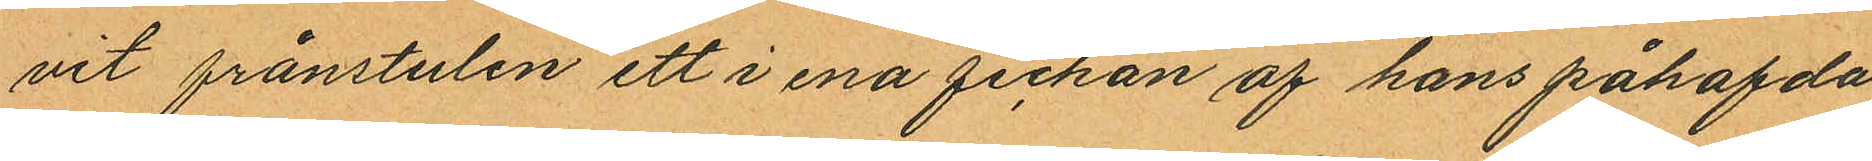vit frånstulen ett i ena fickan af hans påhafda
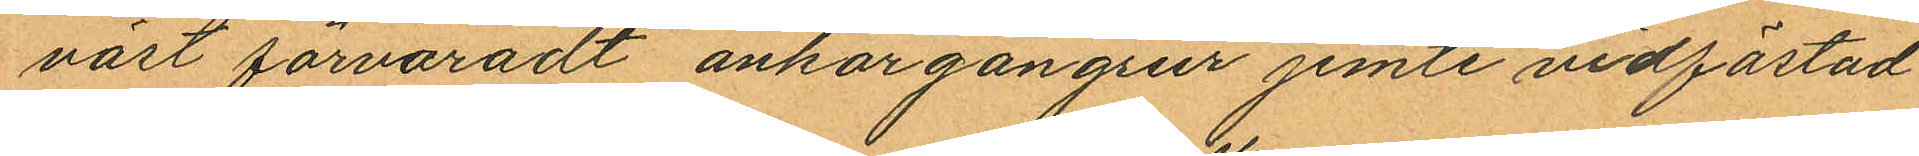väst förvaradt ankargångsur jemte vidfästad
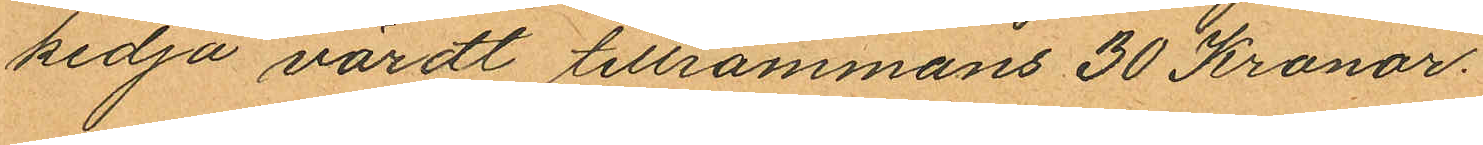kedja värdt tillsammans 30 Kronor.
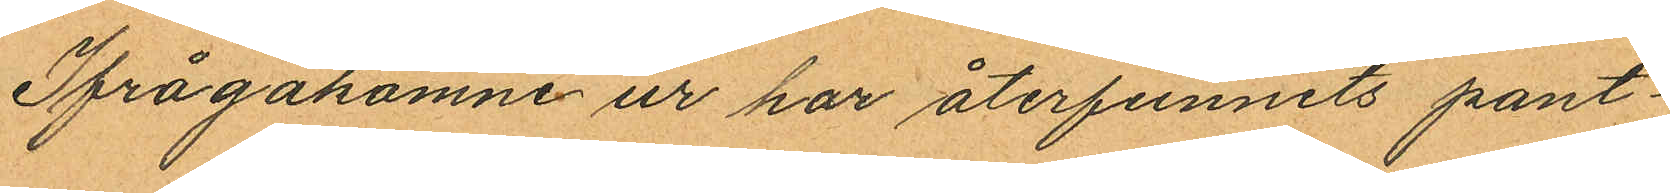Ifrågakomne ur har återfunnits pant¬
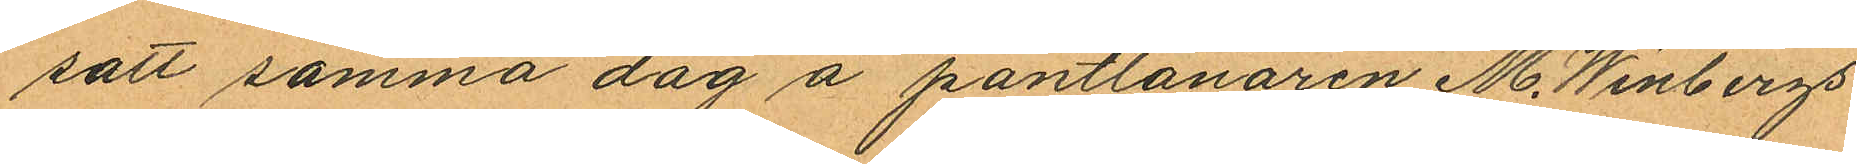sätt samma dag å pantlånaren M. Winbergs
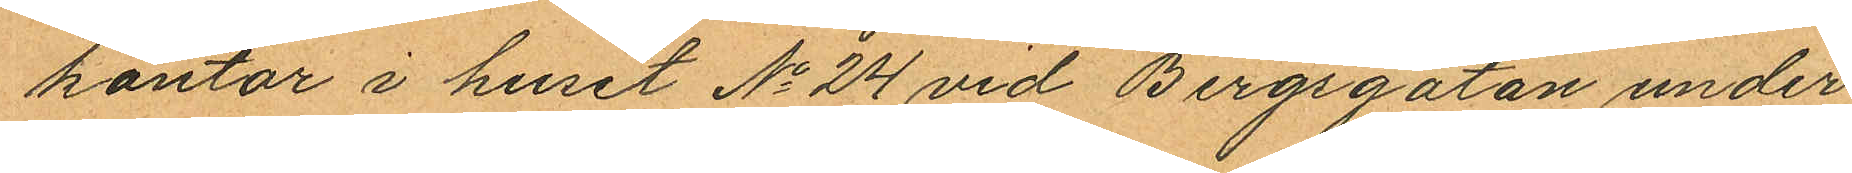kontor i huset No 24 vid Bergsgatan under
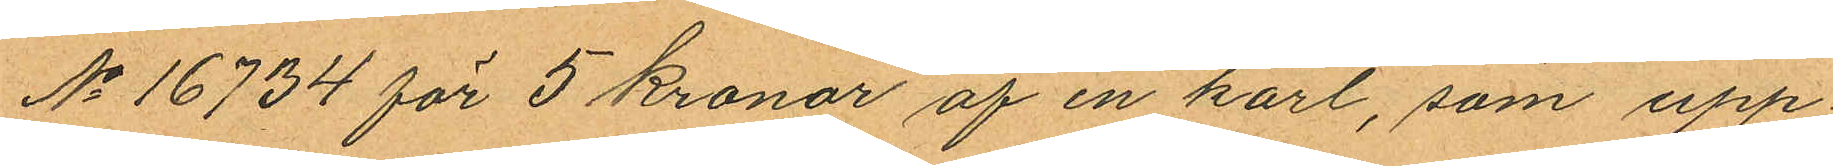No 16734 för 5 kronor af en karl, som upp¬
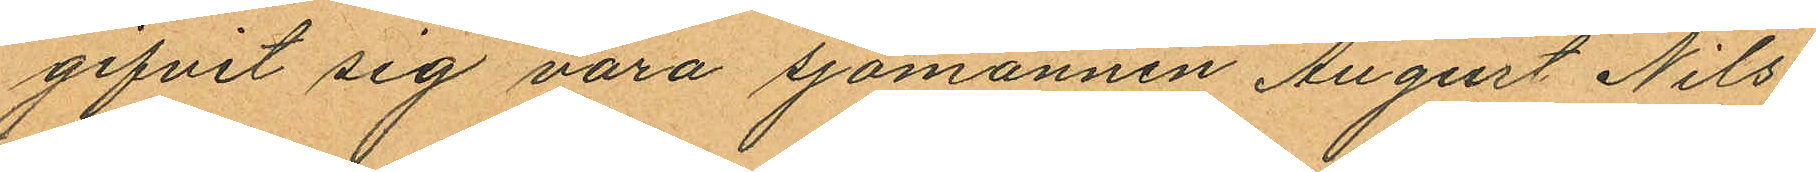gifvit sig vara sjömannen August Nils¬
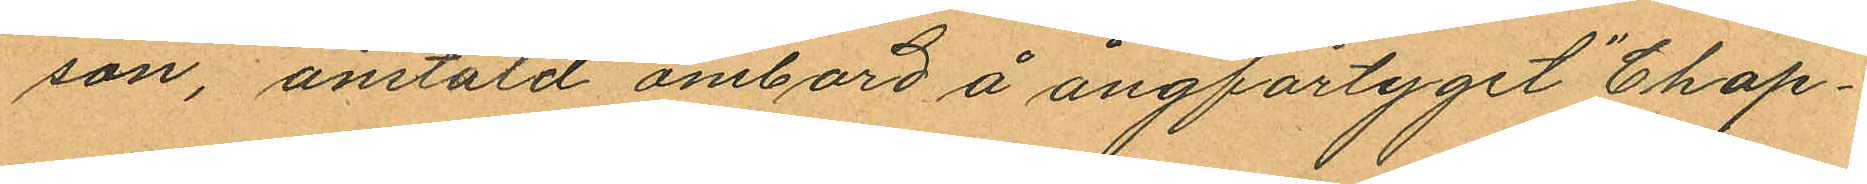son, anstäld ombord å ångfartyget "Chap¬
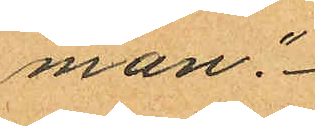man."
